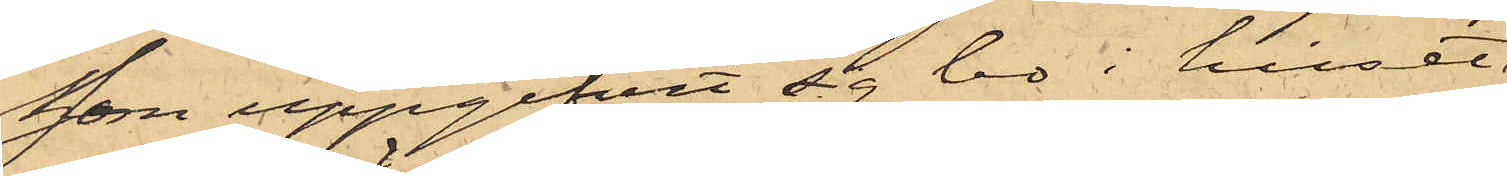som uppgifvit sig bo i huset
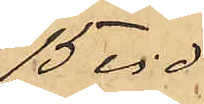15 vid
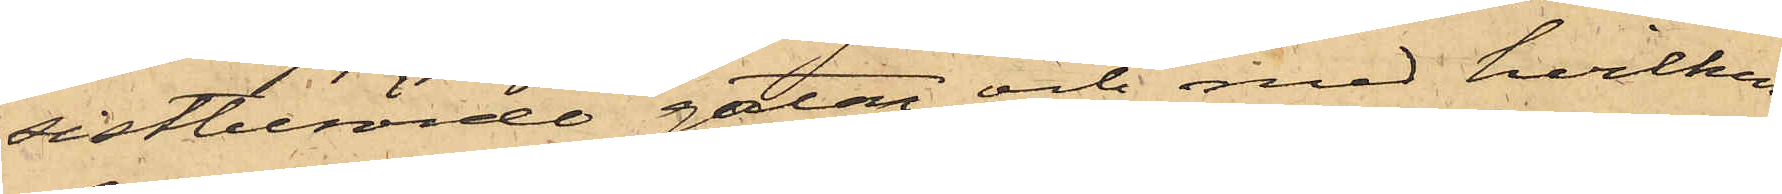sistberörde gatan och med hvilken
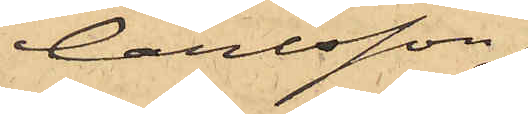Carlsson
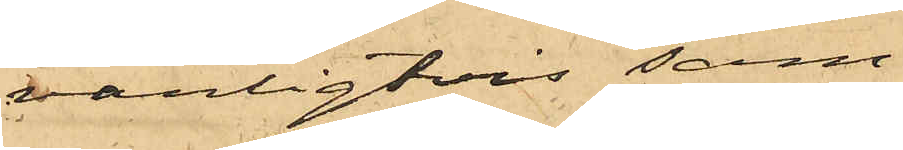vanligtvis sam¬
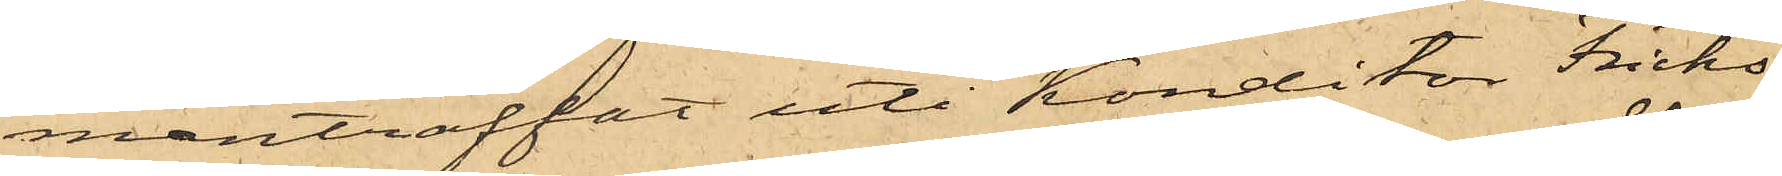manträffat uti Konditor Fricks
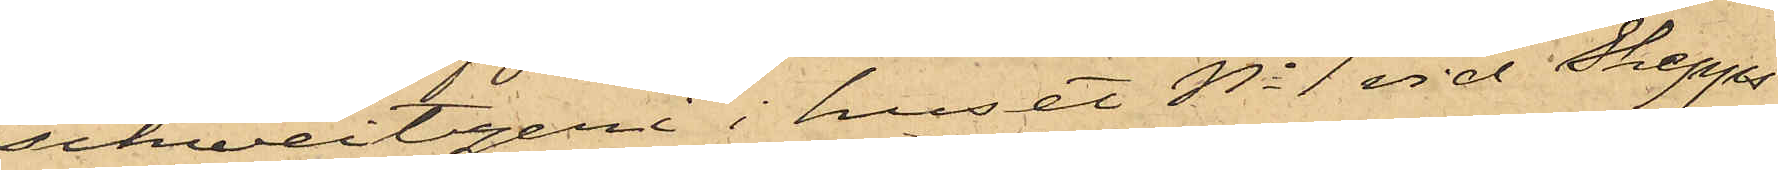schweitzeri i huset No 1 vid Skepps¬
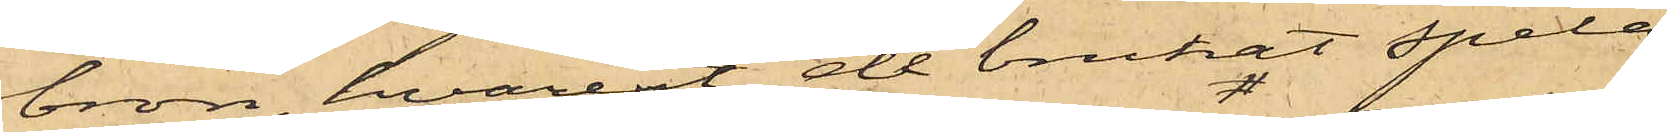bron, hvarest de brukat spela
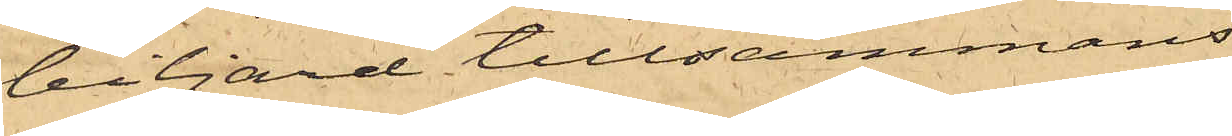biljard tillsammans:
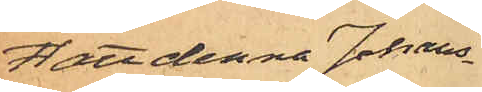att denna Johans¬
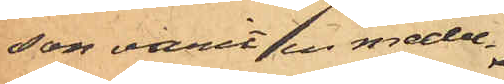son varit en medel¬
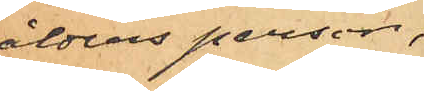ålders person,
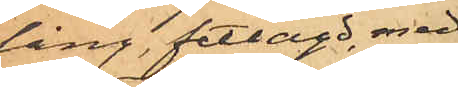lång, fetlagd, med
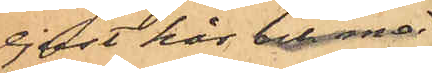ljust hår och små
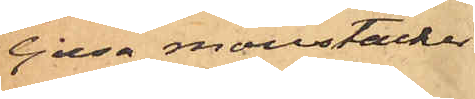ljusa moustacher
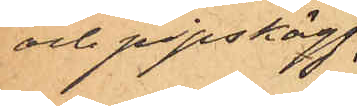och pipskägg;
